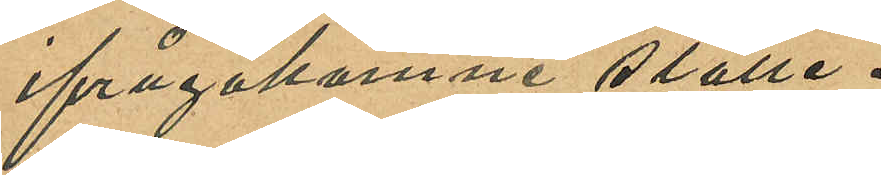ifrågakomne ställe.
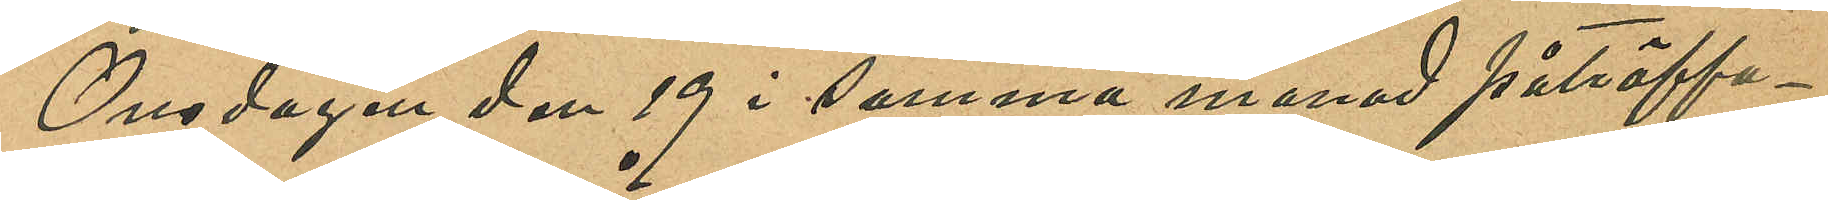Onsdagen den 19 i samma månad påträffa¬
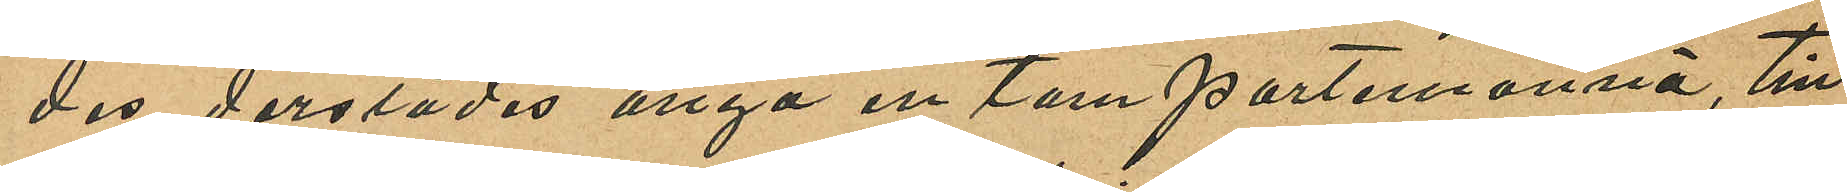des derstädes ånyo en tom portemonnä, till
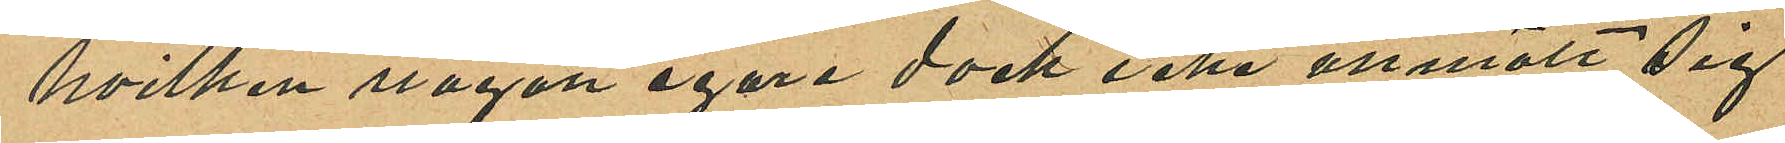hvilken någon egare dock icke anmält sig
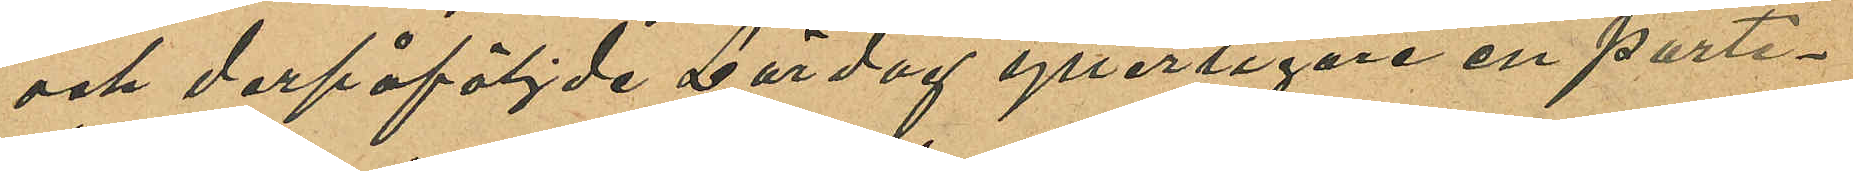och derpåföljde Lördag ytterligare en porte¬
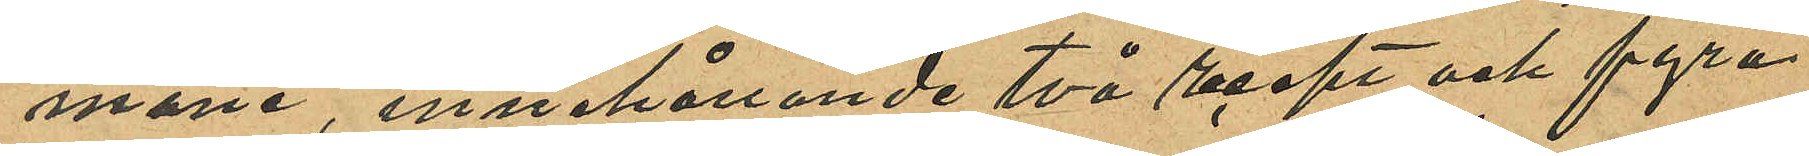mone, innehållande två recept och fyra
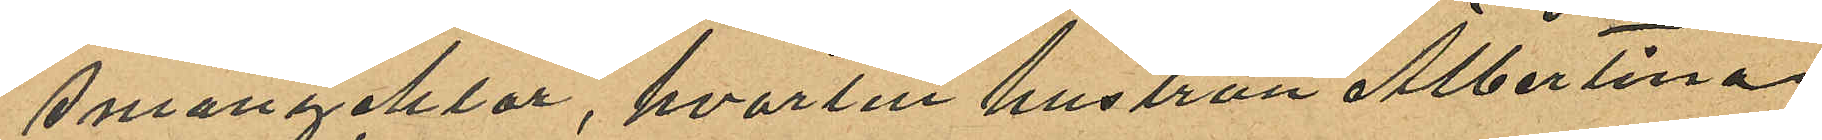smånycklar, hvartill hustrun Albertina
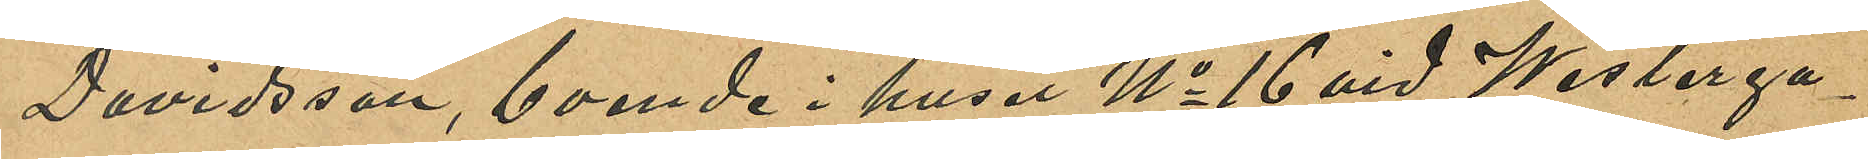Davidsson, boende i huset No 16 vid Westerga¬
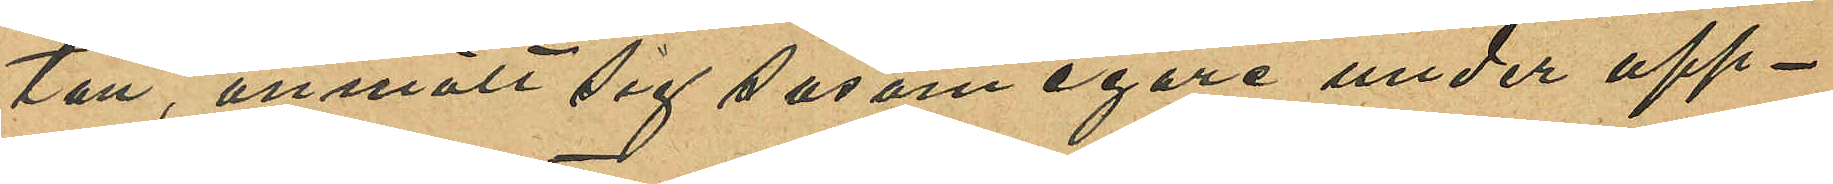tan, anmält sig såsom egare under upp¬
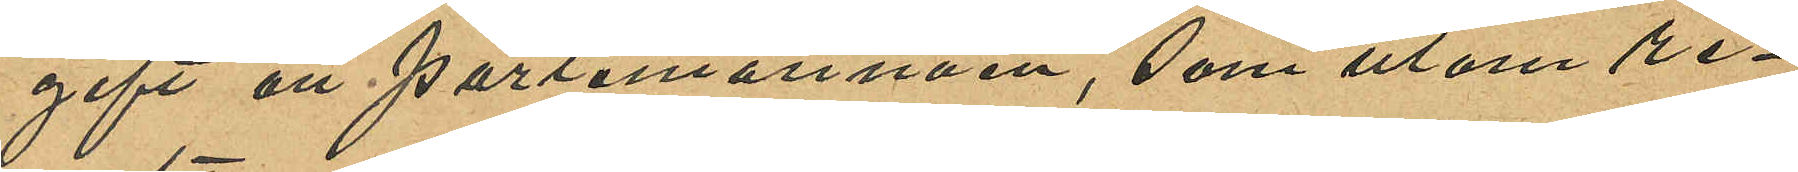gift att portemonnäen, som utom re¬
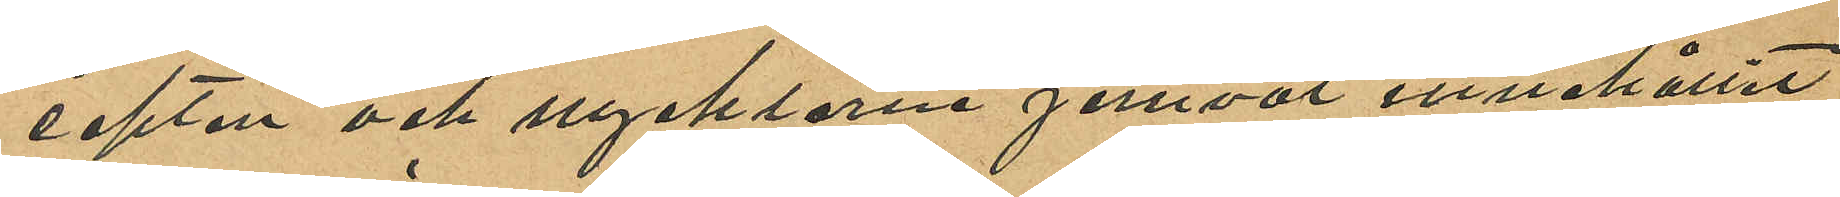cepten och nycklarna jemväl innehållit
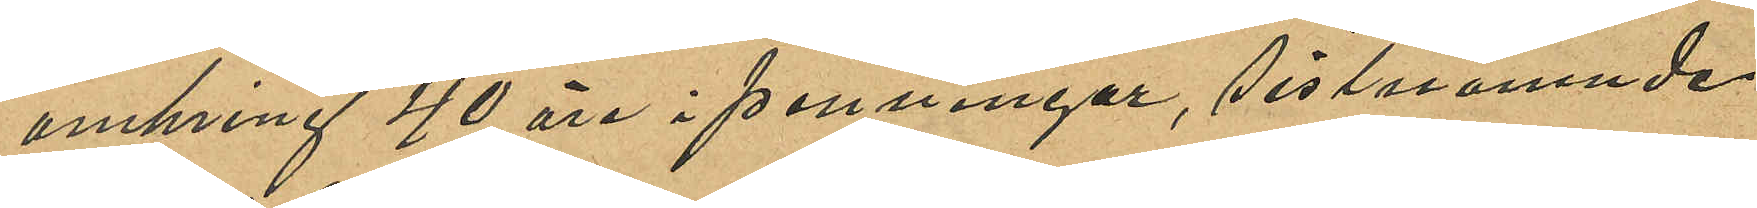omkring 40 öre i penningar, sistnämnde
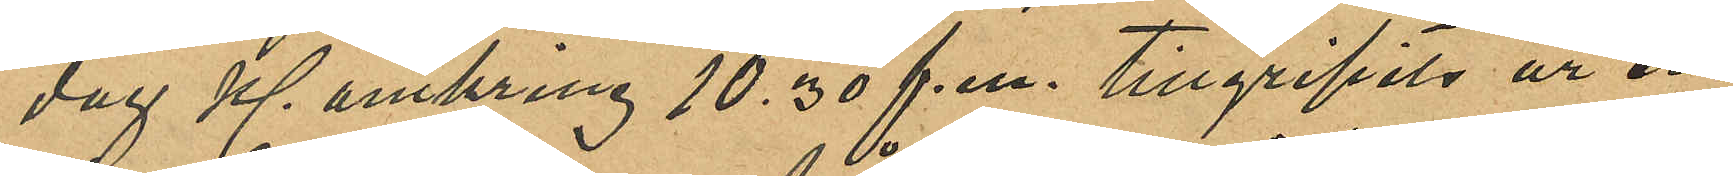dag kl. omkring 10.30 f.m. tillgripits ur en
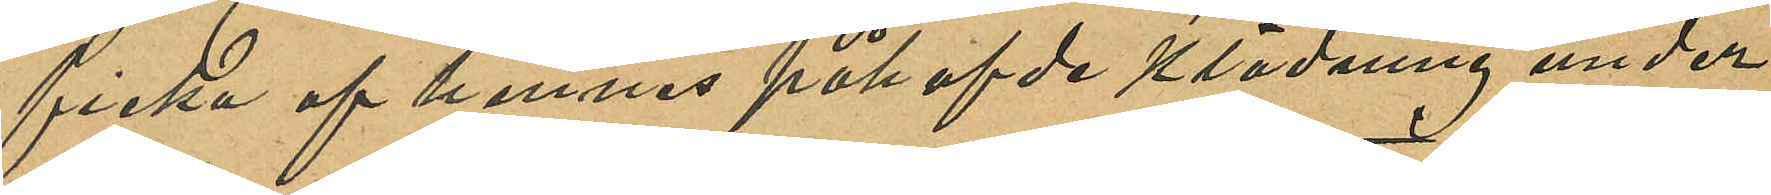ficka af hennes påhafde klädning under
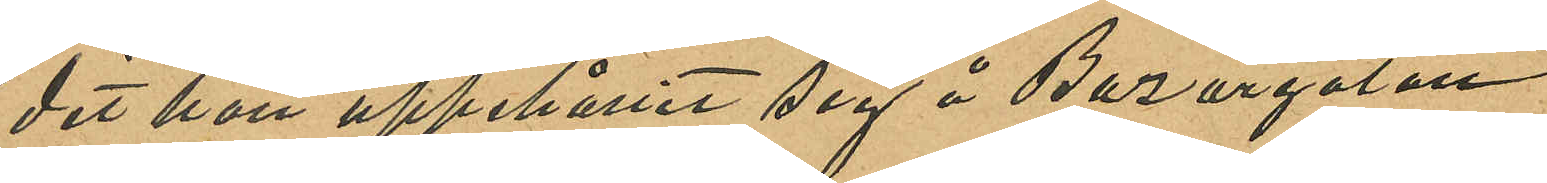det hon uppehållit sig å Bazargatan.
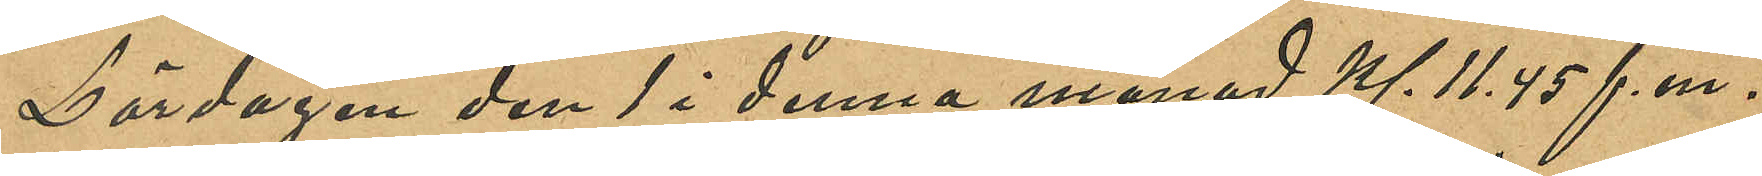Lördagen den 1 i denna månad Kl. 11.45 f. m.
